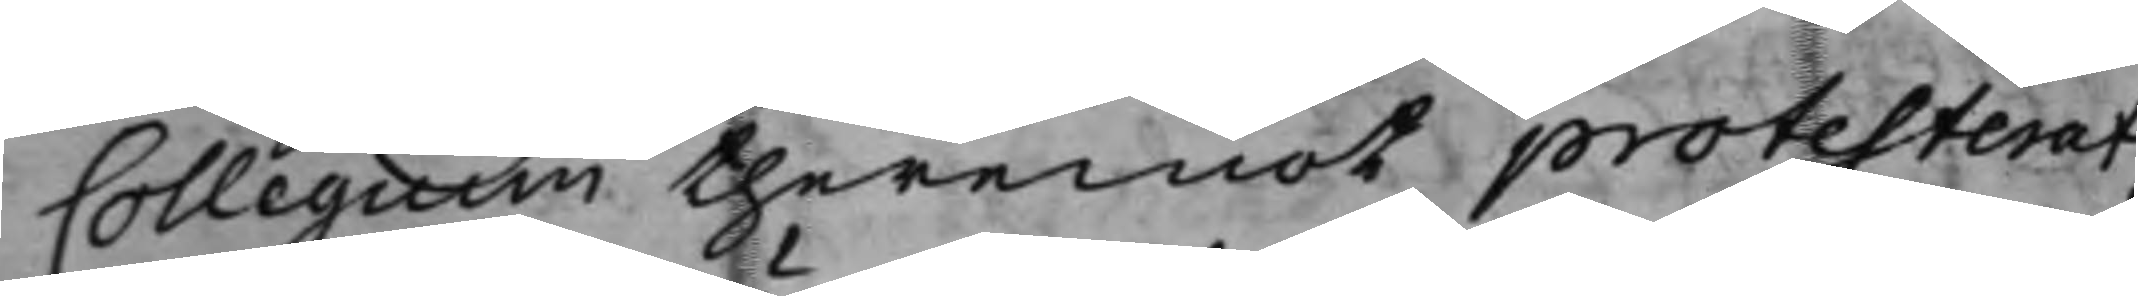Collegium theremot protesterat
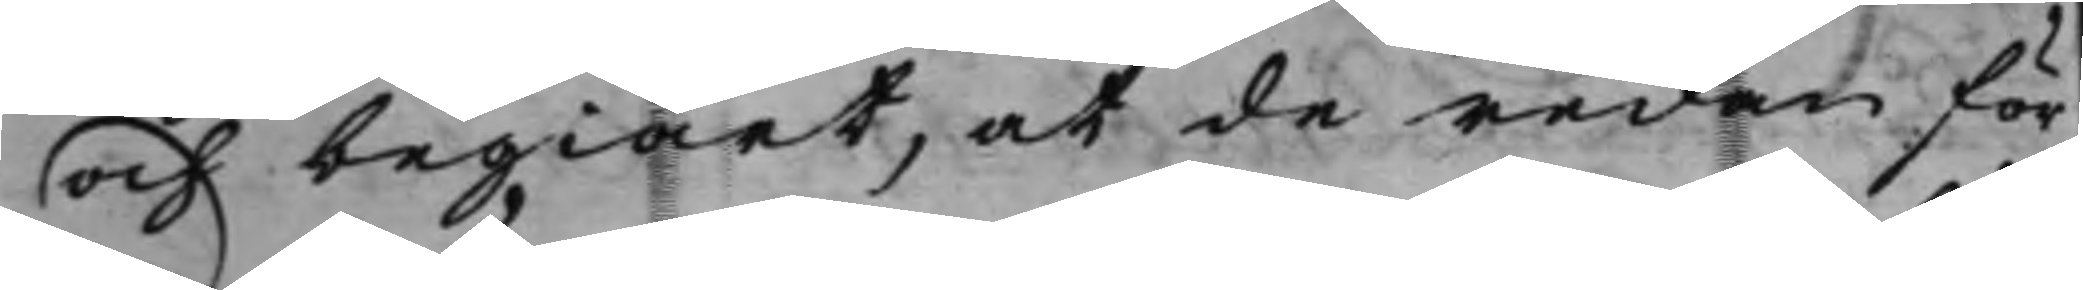och begiärt, at de redan för
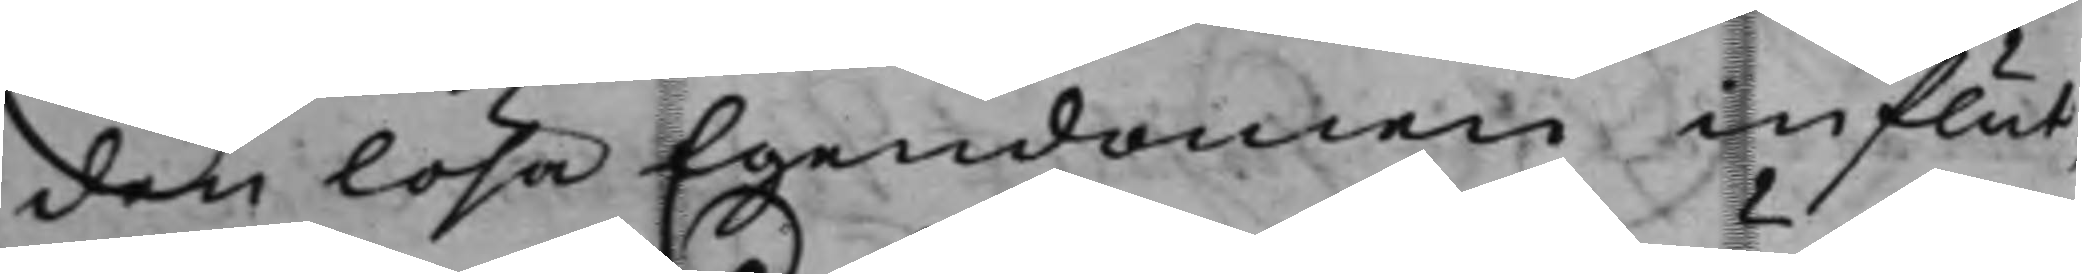den lösa Egendomen influt¬
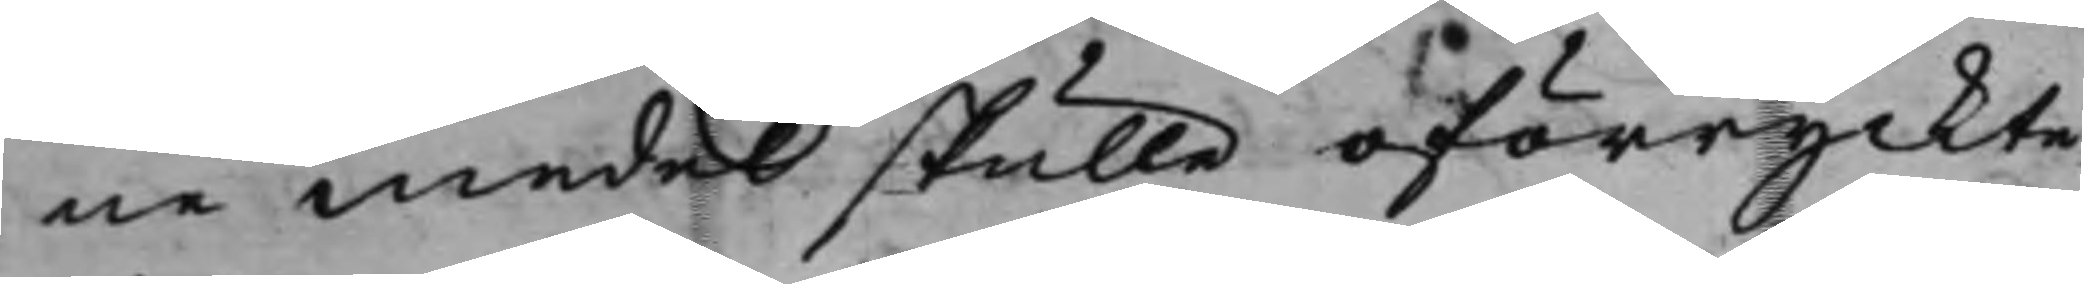ne medel skulle oförryckte,
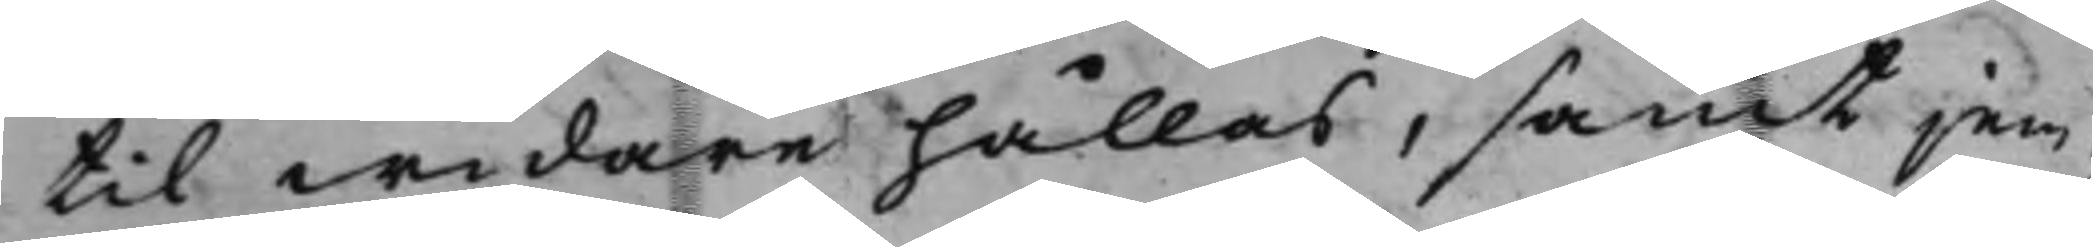til widare hållas, samt jem¬
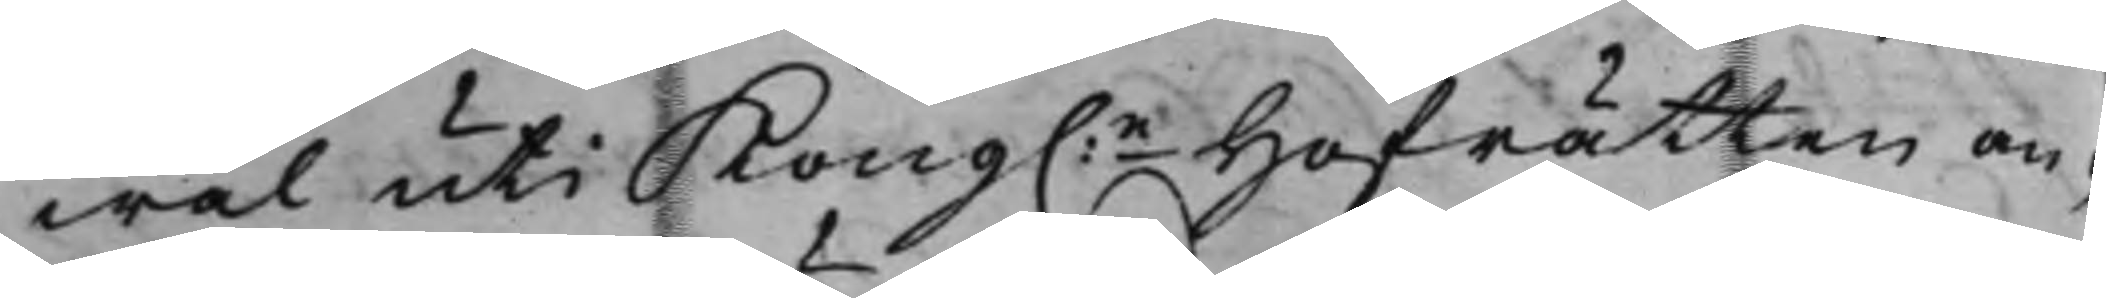wäl uti Kong.e Hofrätten an¬
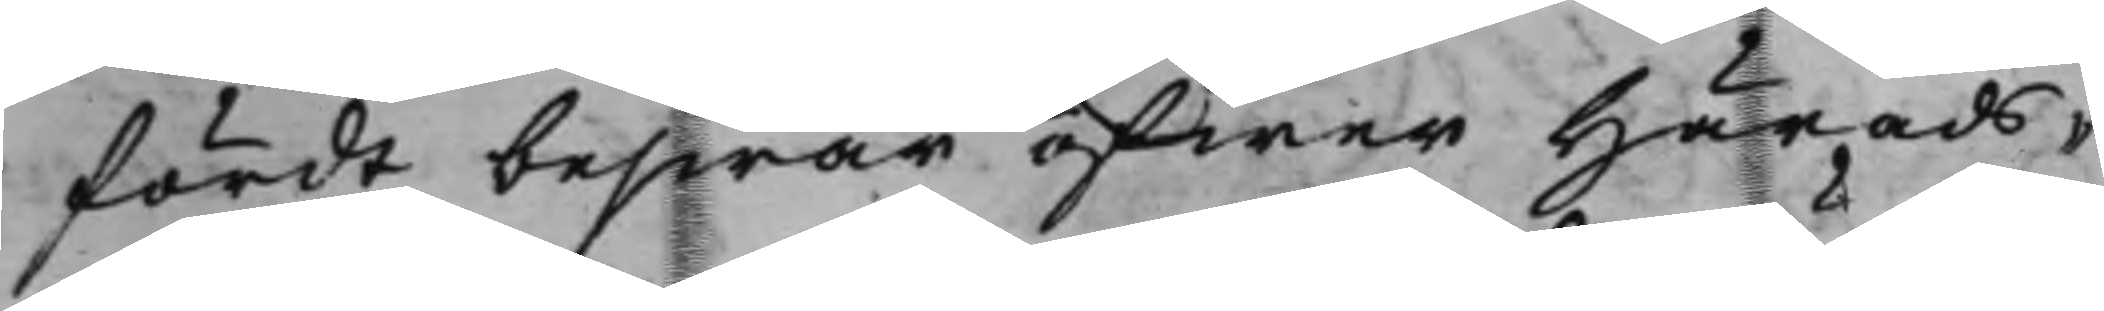fördt beswär öfwer Härads¬
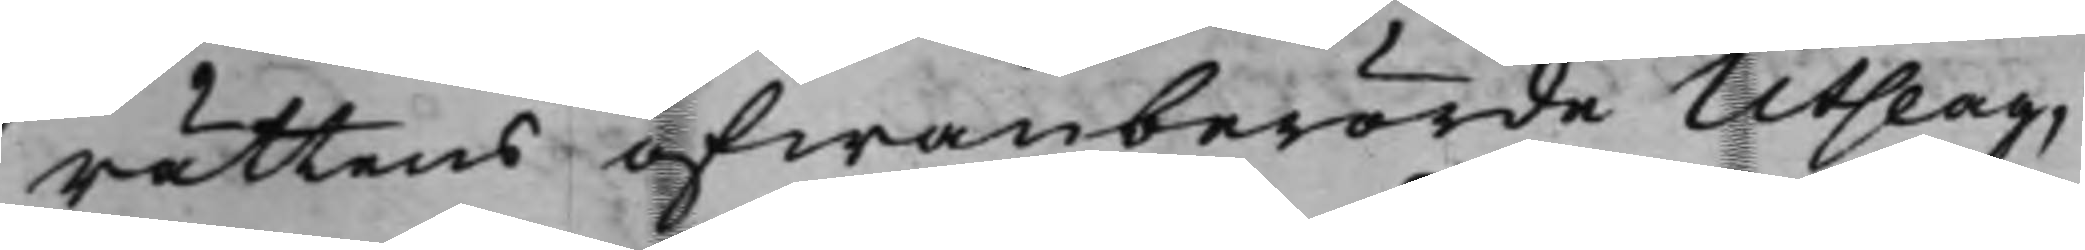rättens ofwanberörde Utslag,
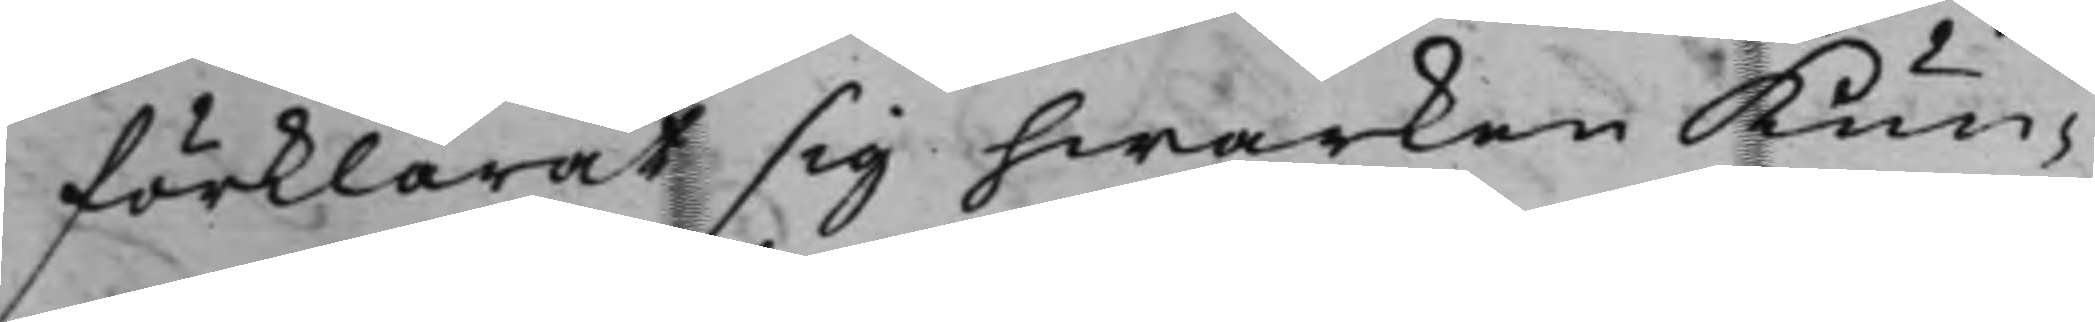förklarat sig hwarken Kun¬
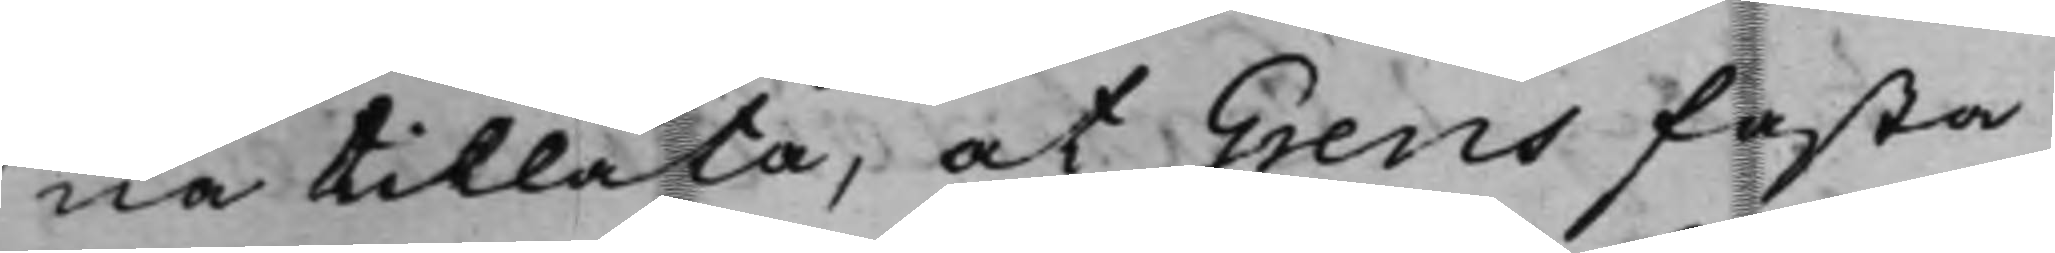na tillåta, at Grens fasta
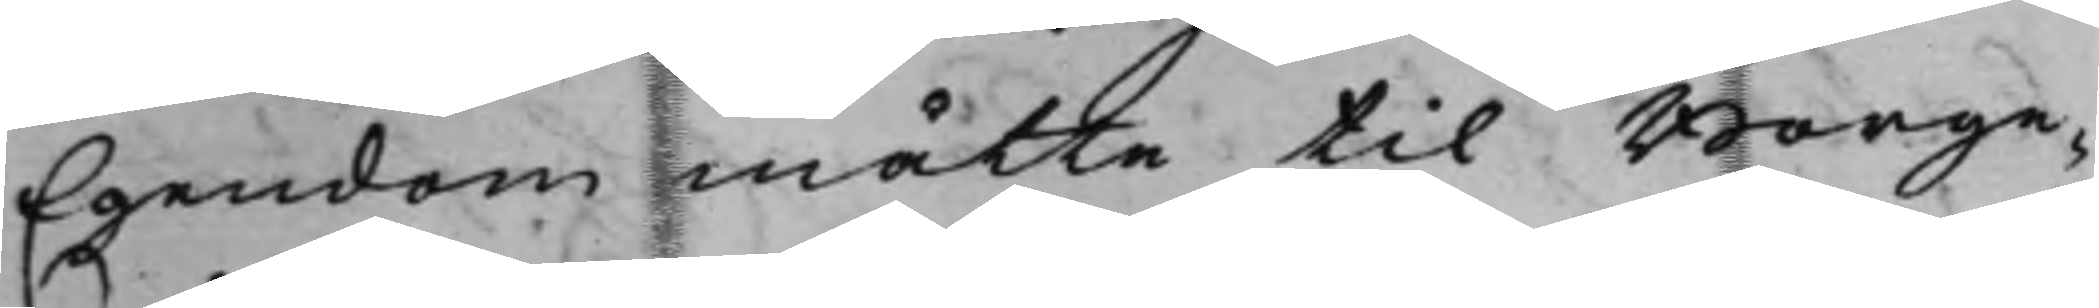Egendom måtte til Borge¬
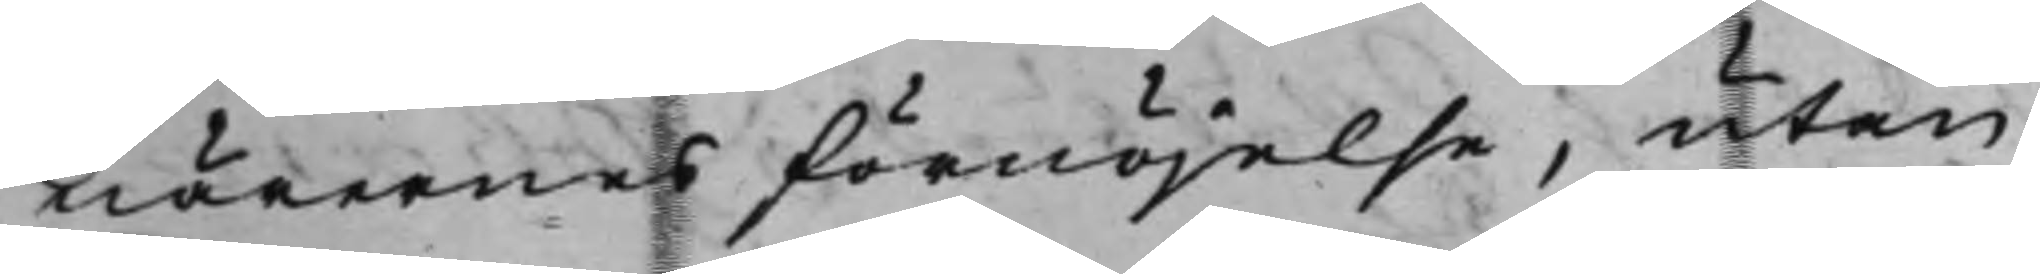närernes förnöjelse, utan
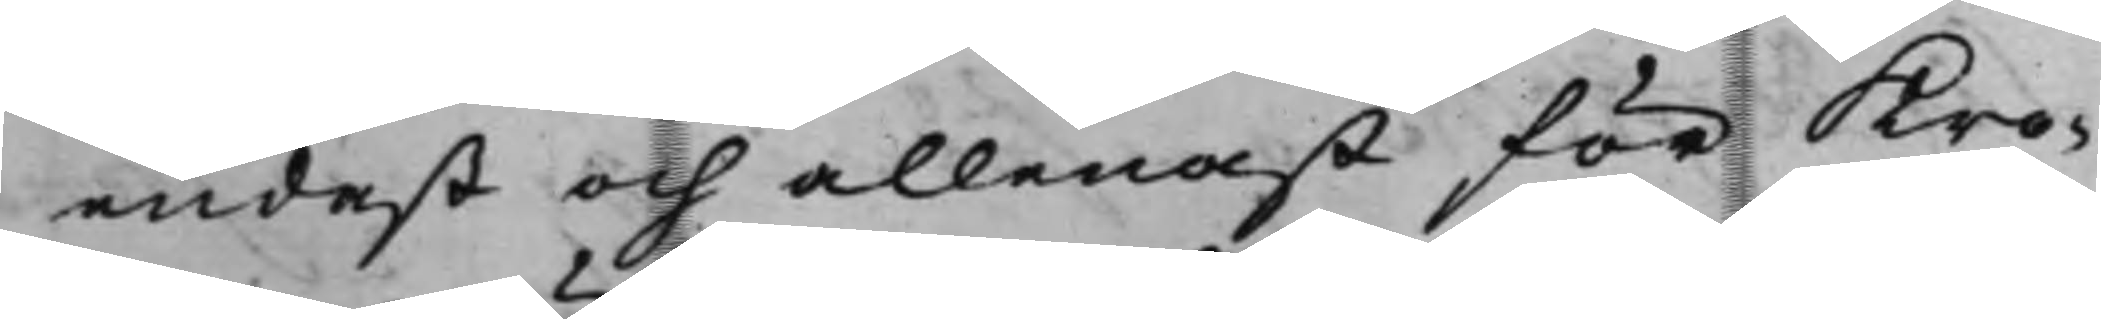endast och allenast för Kro¬
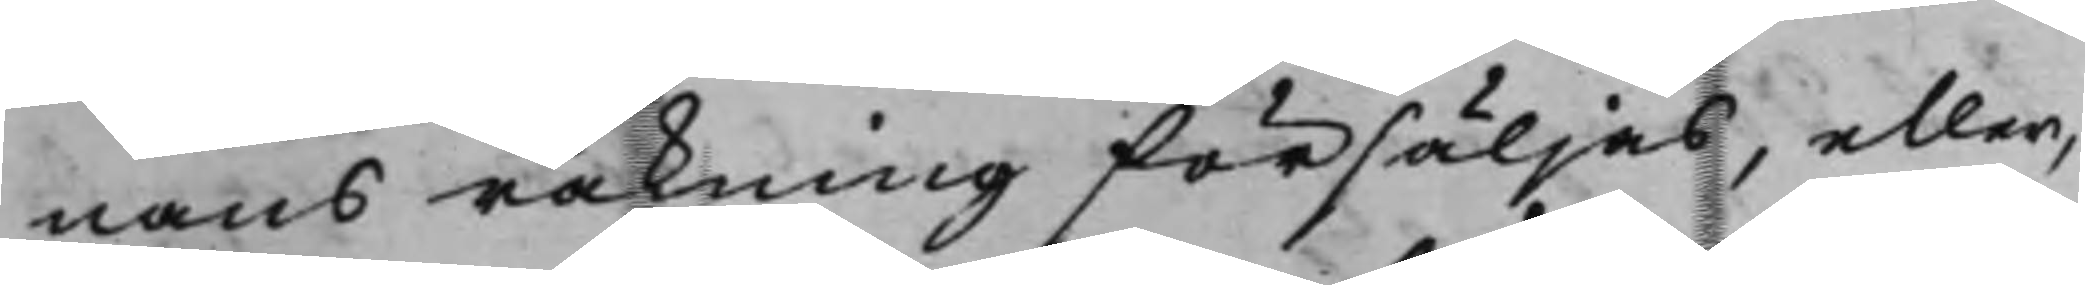nans räkning försäljas, eller,
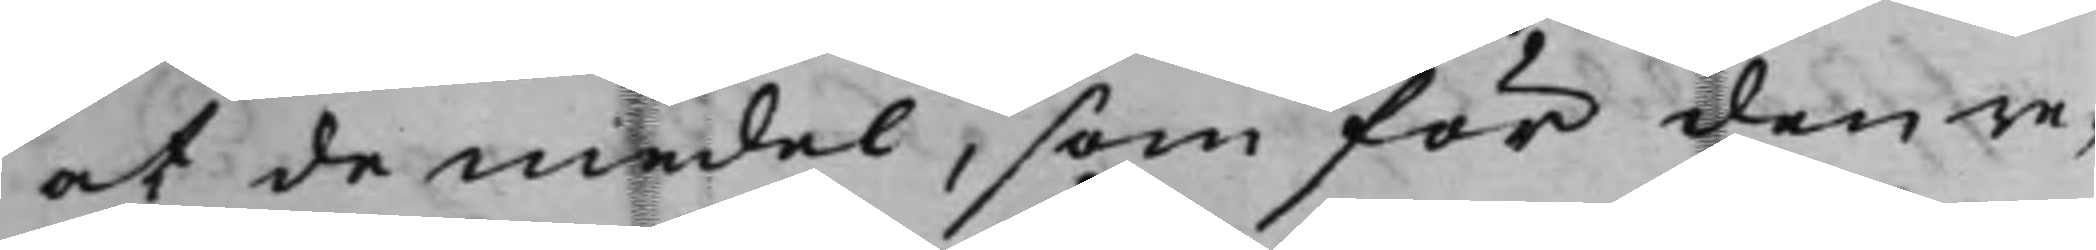at de medel, som för den re¬
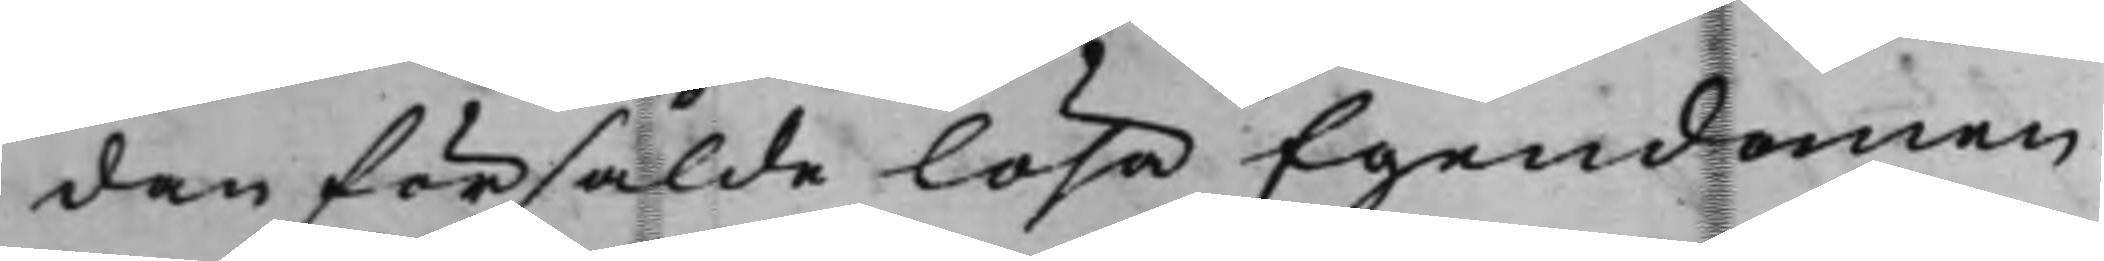den försålde lösa Egendomen
